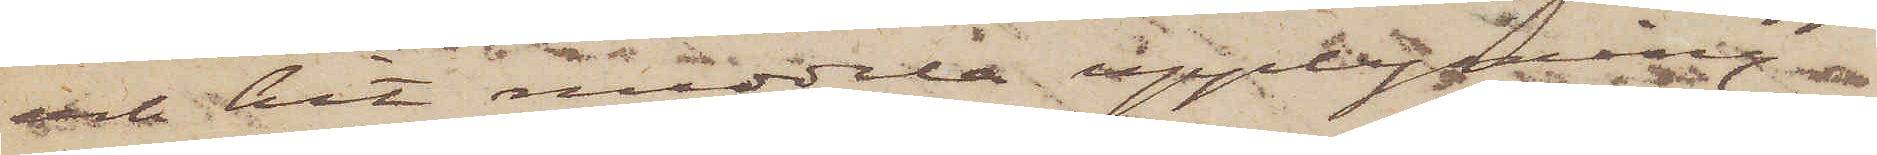och hit meddela upplysning
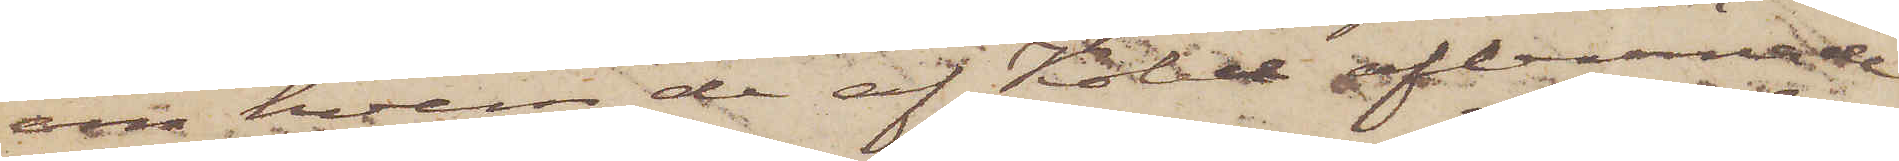om hvem de af Kobel aflemnade
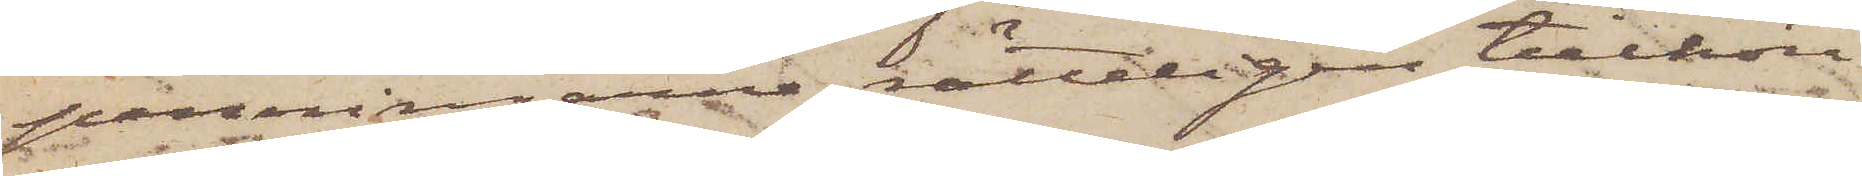penningarne rätteligen tillhöra.
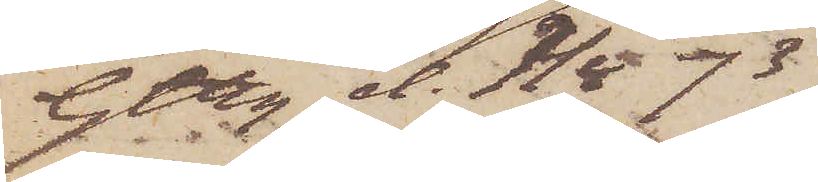Gtbg d. 7/4 73.
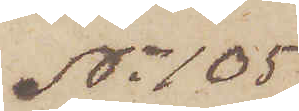No 105
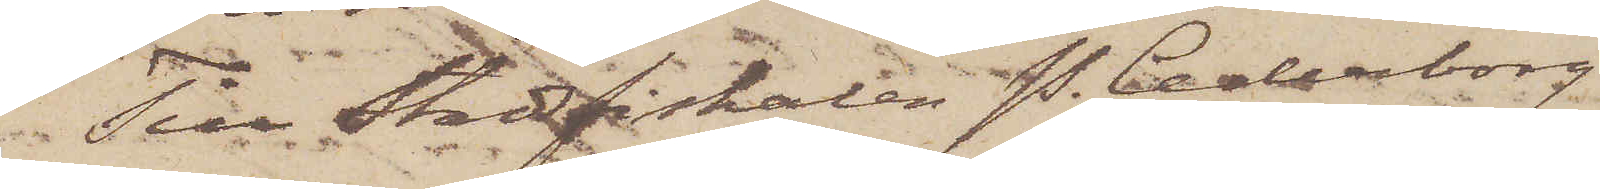Till Stadsfiskalen P. Cederborg,
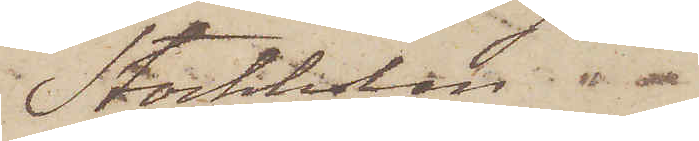Stockholm
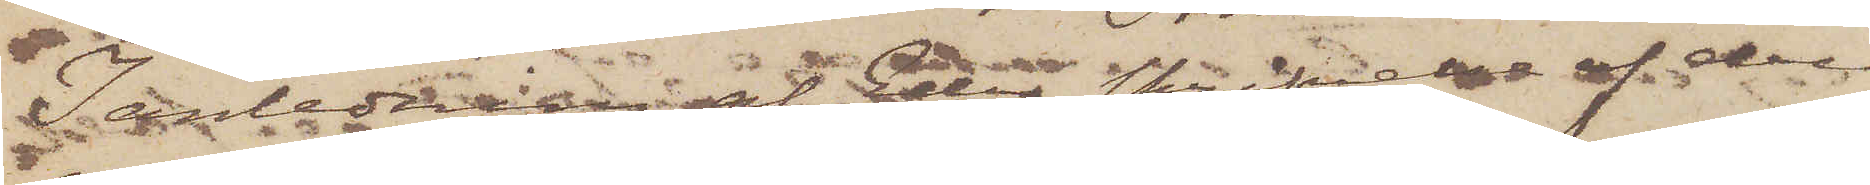I anledning av Eder skrifvelse af den
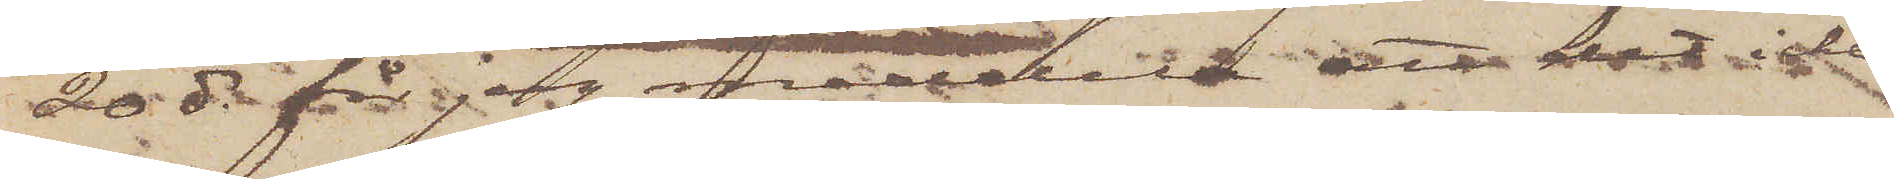20 ds får jag meddela att det icke
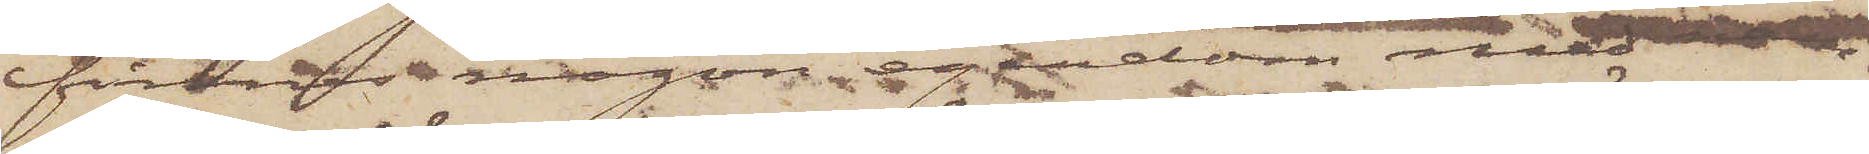finnes någon egendom med nam¬
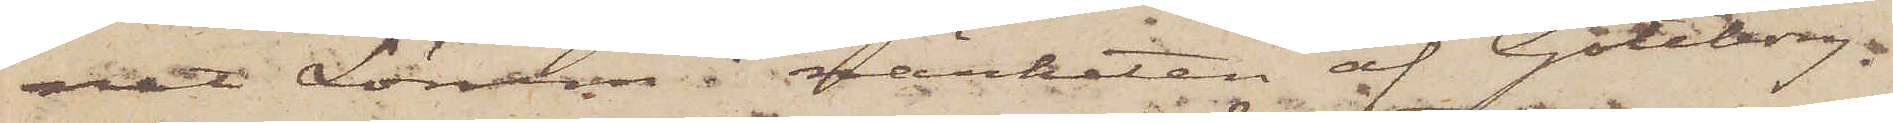net Lörum i närheten af Göteborg.
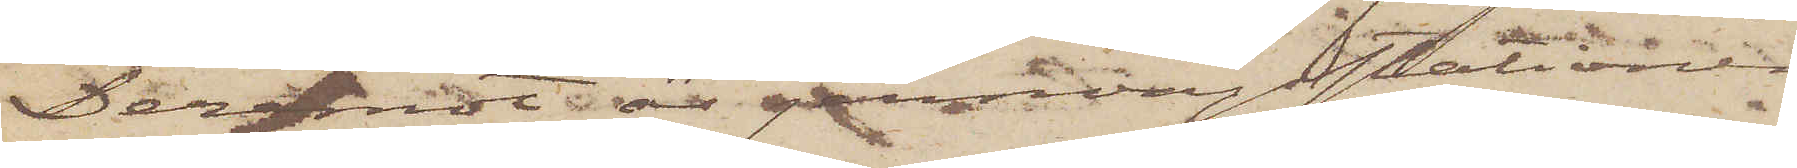Däremot är jernvägsstationen
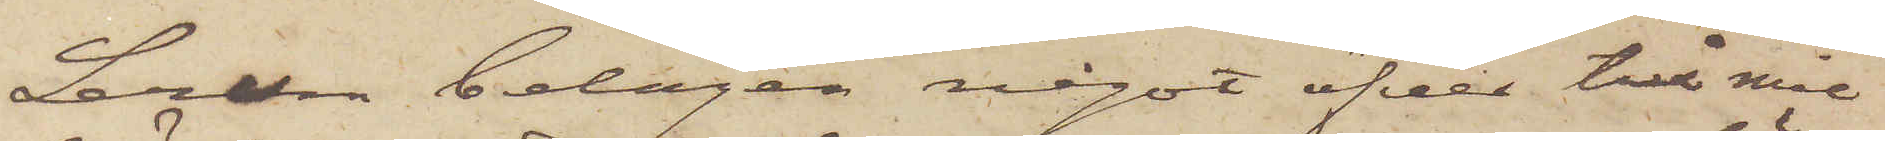Lerum belägen något öfver två mil
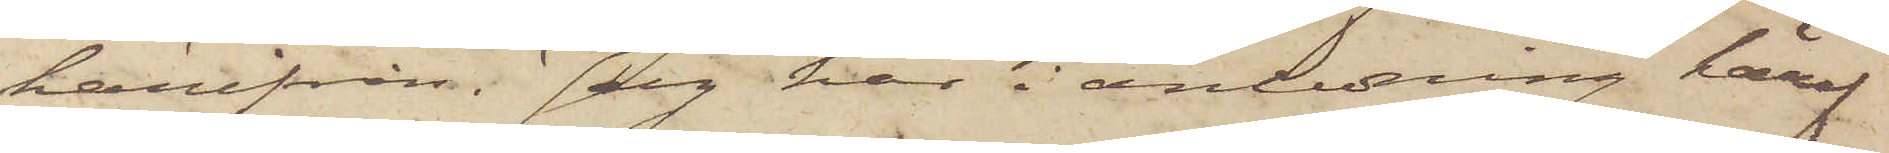härifrån. Jag här i anledning häraf
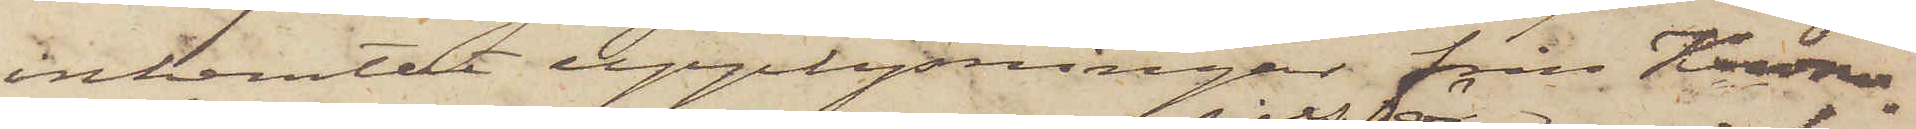inhemtat upplysningar från Krono¬
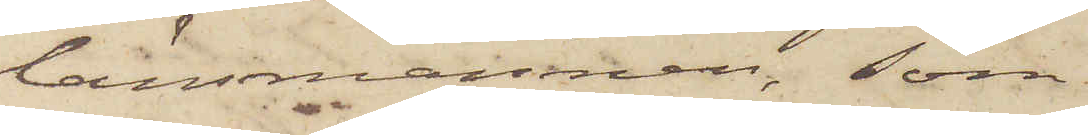länsmannen, som
